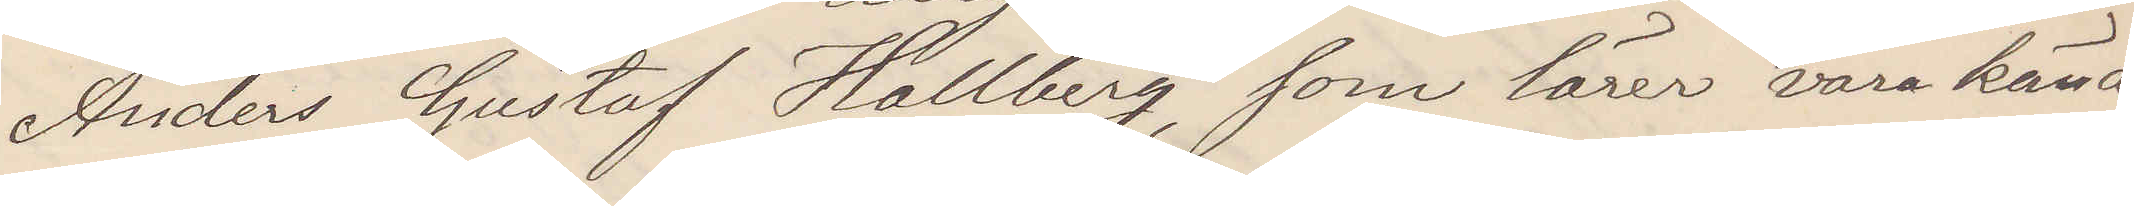Anders Gustaf Hallberg, som lärer vara känd
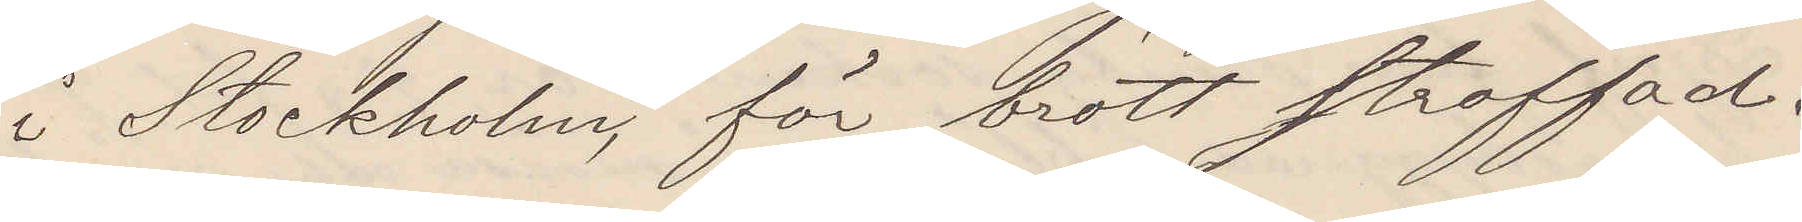i Stockholm, för brott straffad.
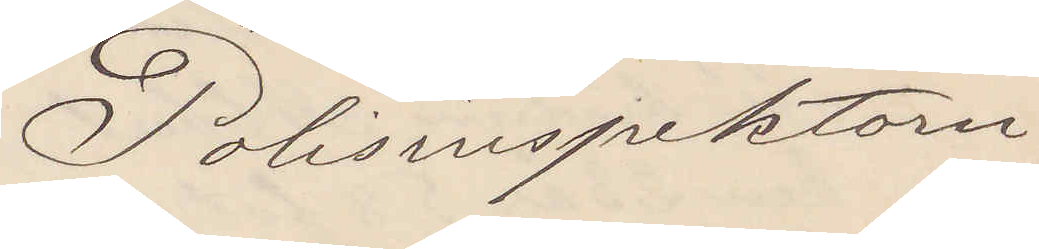Polisinspektorn
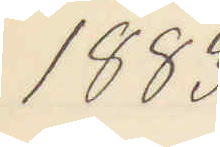1883
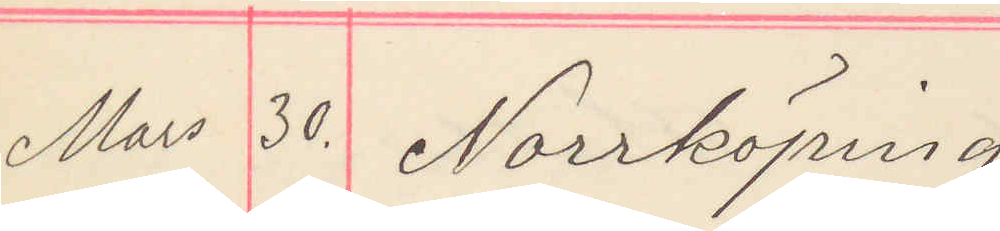Mars 30. Norrköping
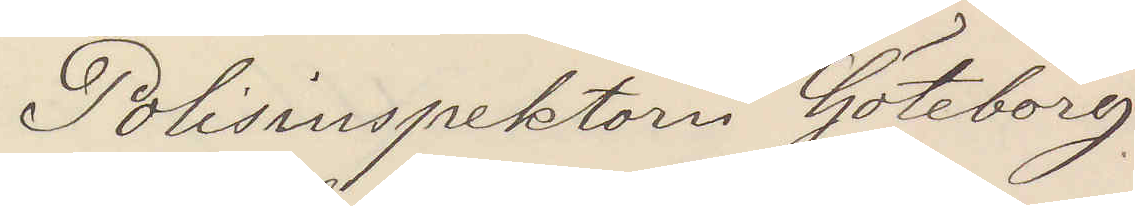Polisinspektorn Göteborg
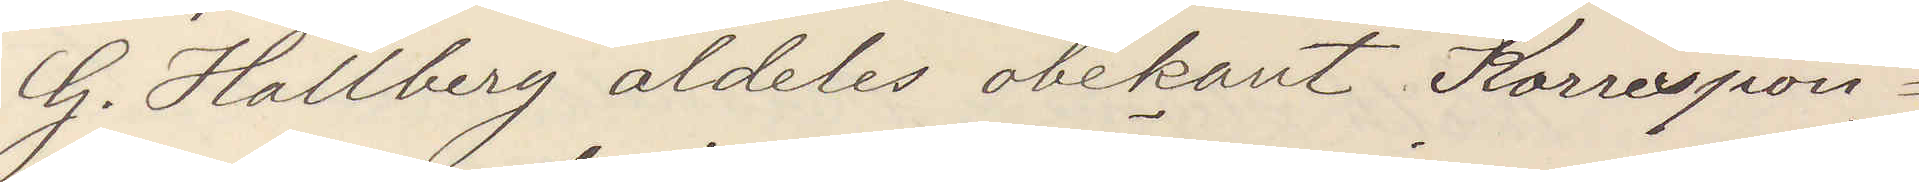G. Hallberg aldeles obekant Korrespon¬
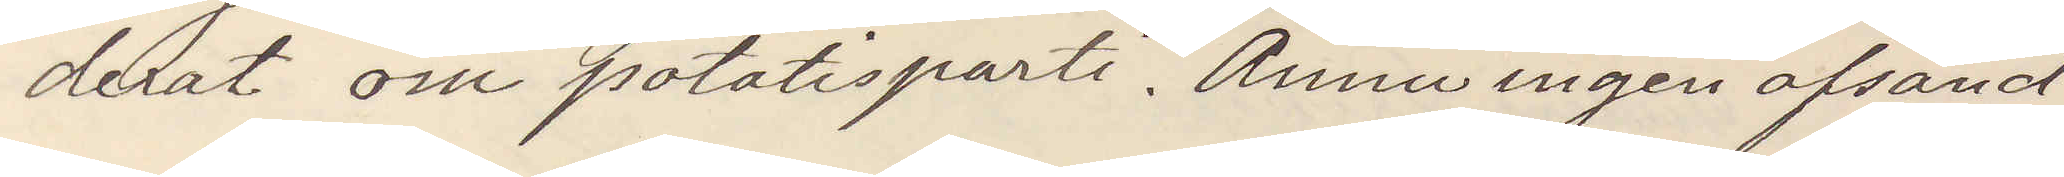derat om potatisparti. Ännu ingen afsänd
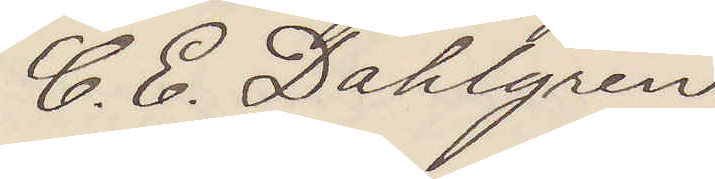C. E. Dahlgren
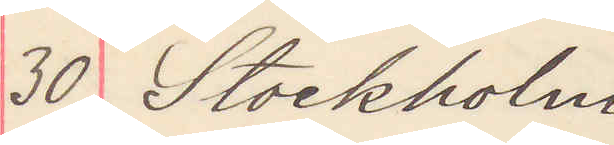30 Stockholm
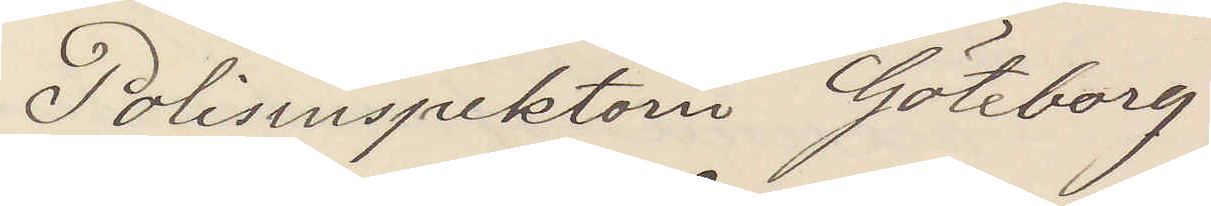Polisinspektorn Göteborg
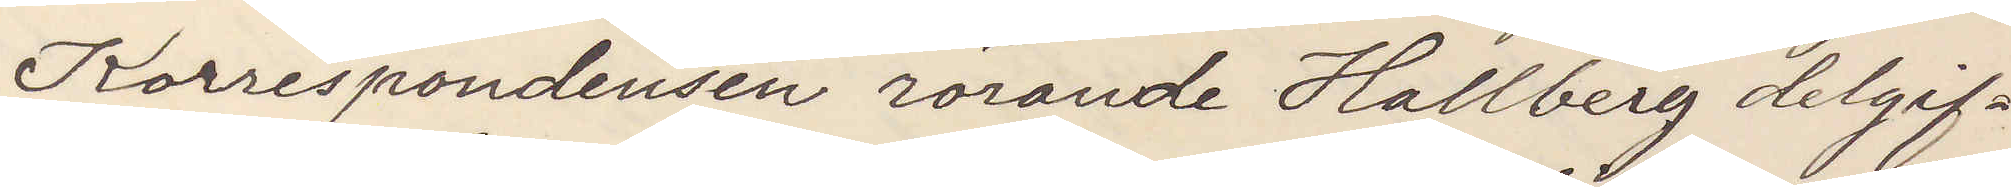Korrespondensen rörande Hallberg delgif¬
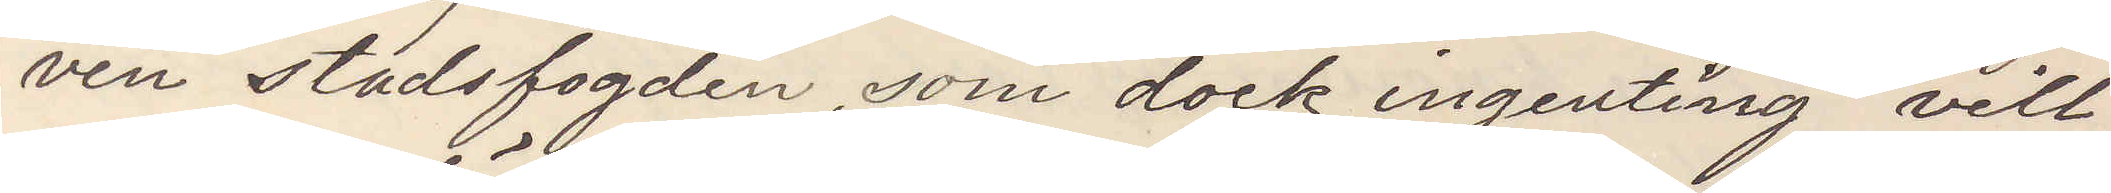ven stadsfogden, som dock ingenting vill
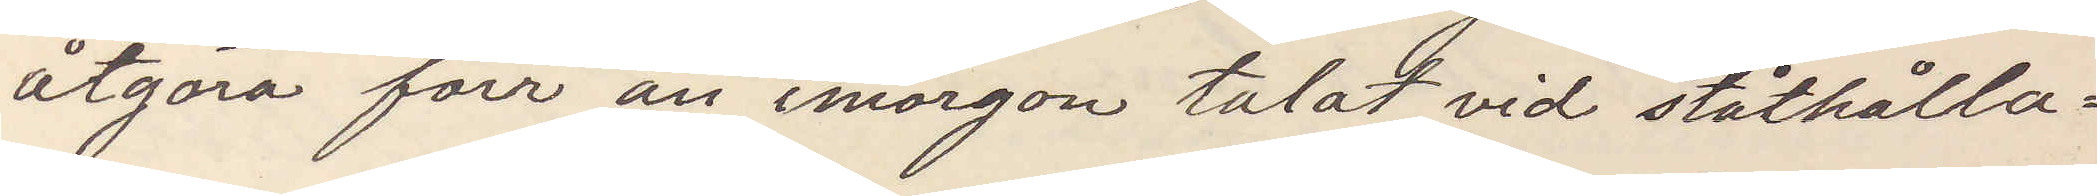åtgöra för än imorgon talat vid ståthålla¬
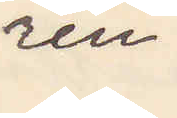ren.
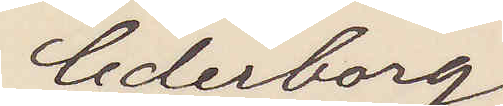Cederborg
